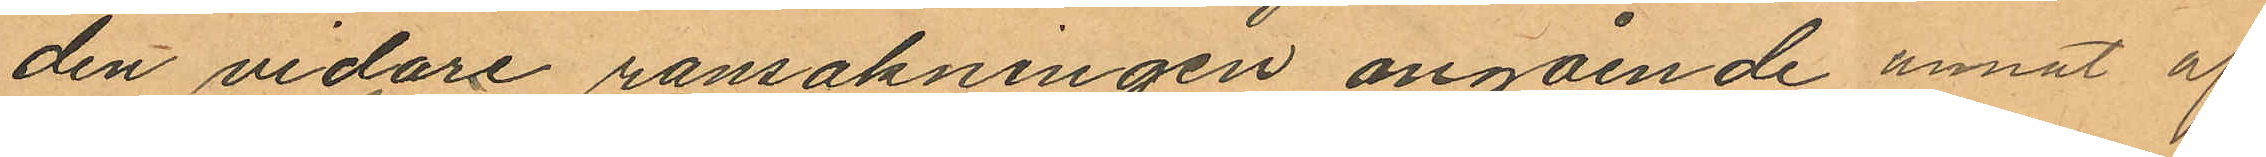den vidare ransakningen angående annat af
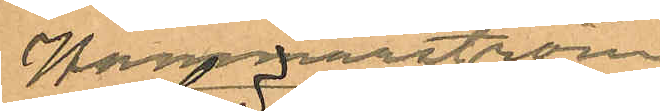Hammarström
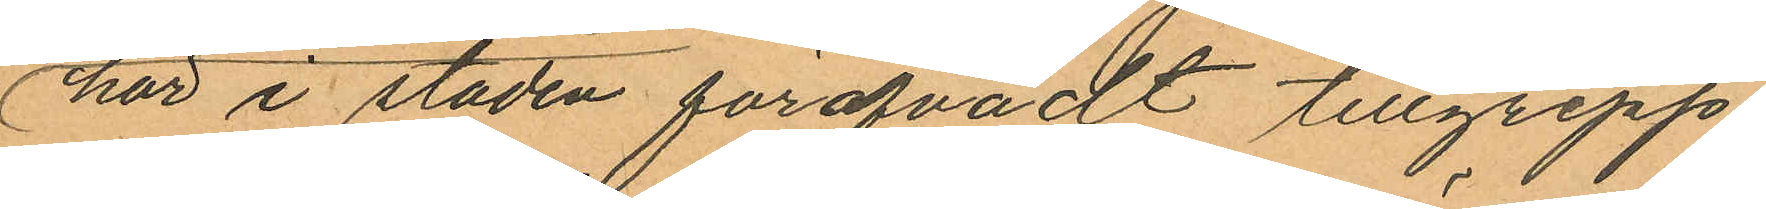här i staden föröfvadt tillgrepp.
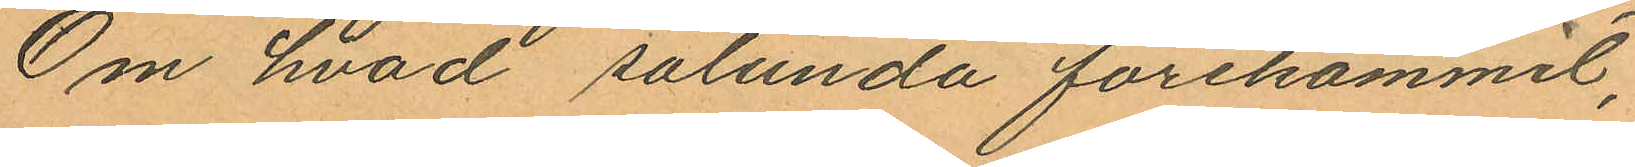Om hvad sålunda förekommit,
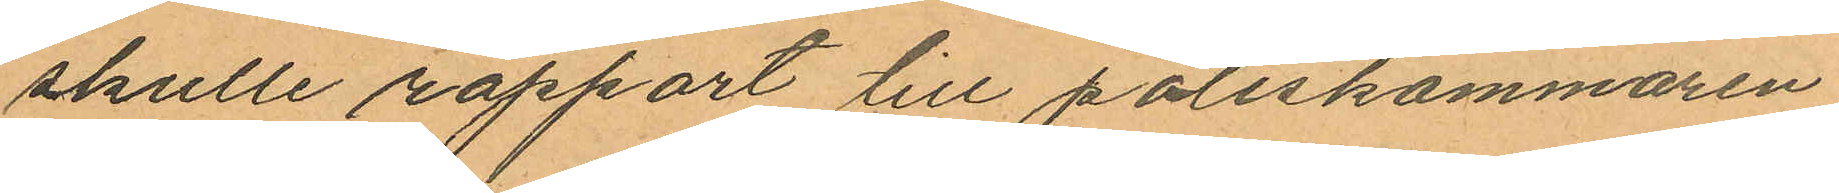skulle rapport till poliskammaren
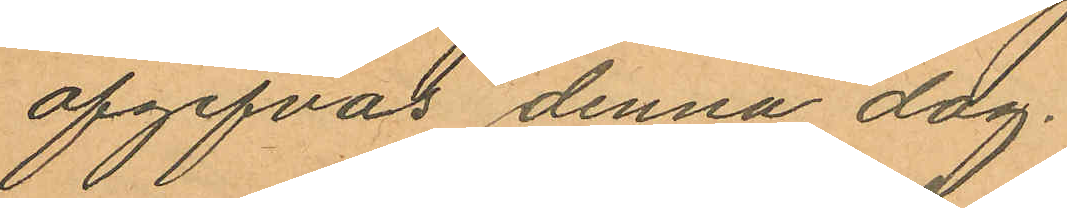afgifvas denna dag.
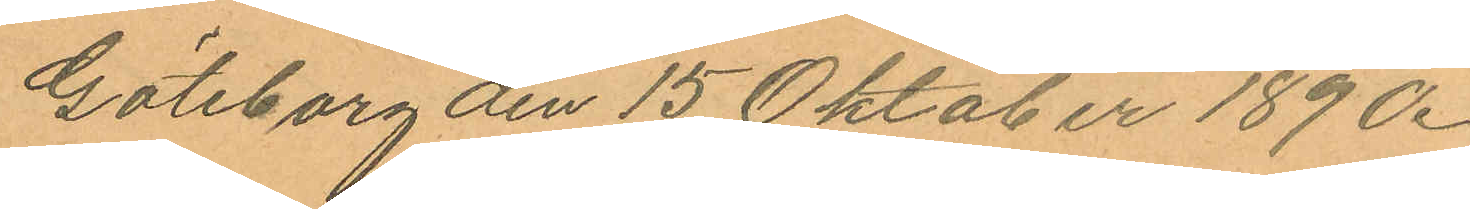Göteborg den 15 Oktober 1890.
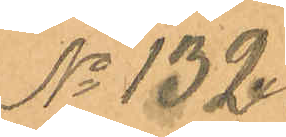No 132.
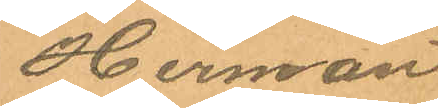Herman
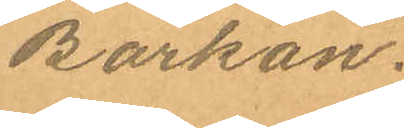Barkan.
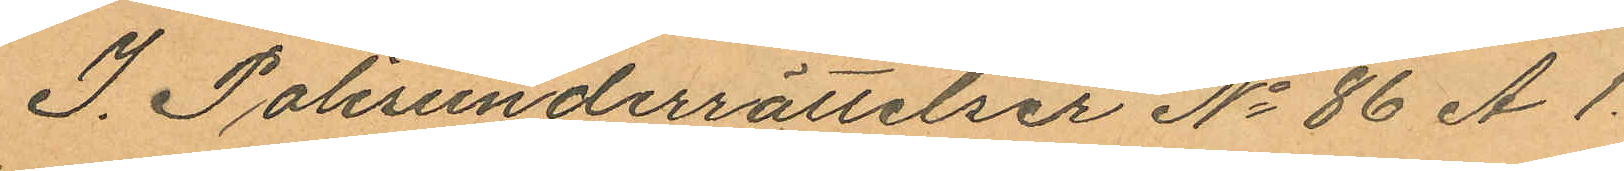I Polisunderrättelser No 86 A 1.
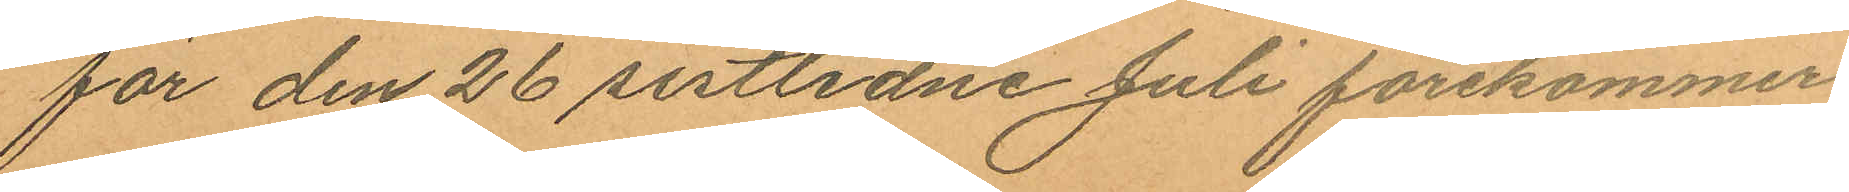för den 26 sistlidne Juli förekommer
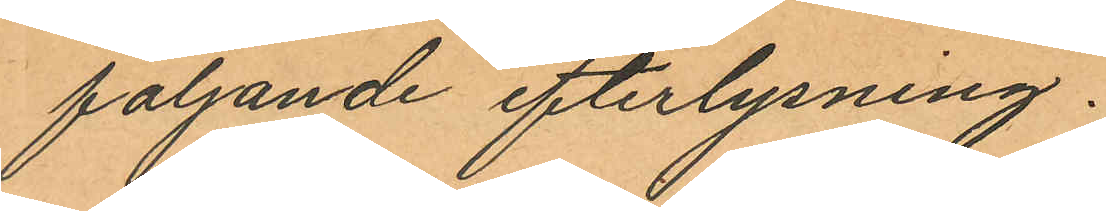följande efterlysning.
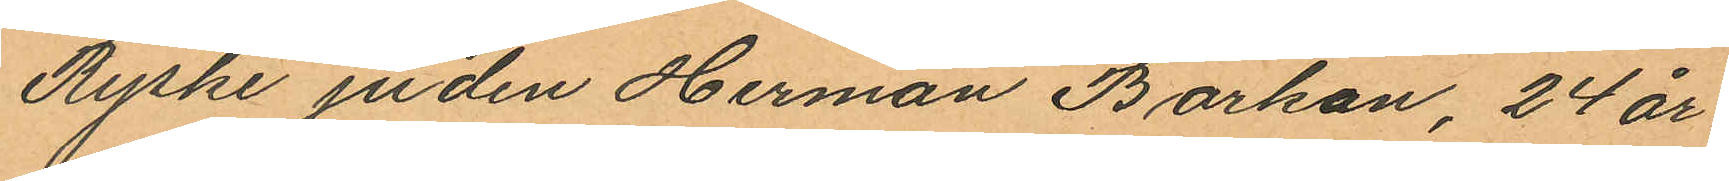Ryske juden Herman Barkan, 24 år
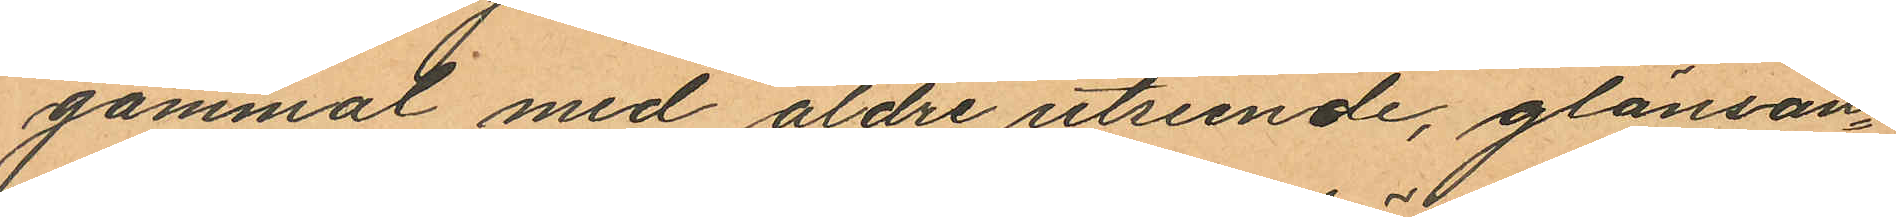gammal med äldre utseende, glänsan¬
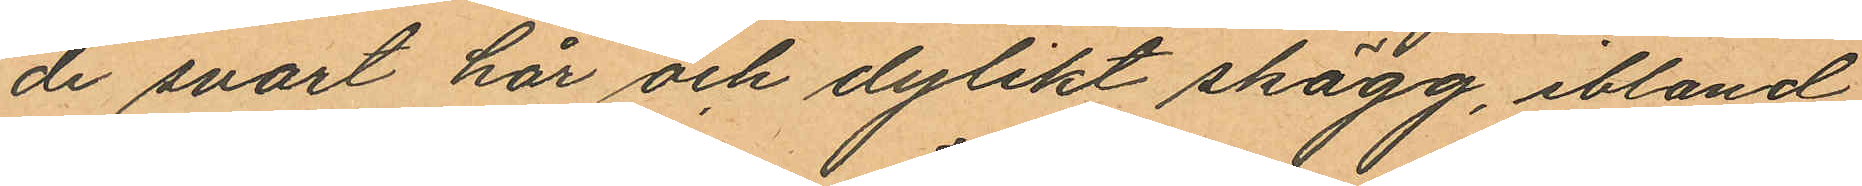de svart hår och dylikt skägg, ibland
